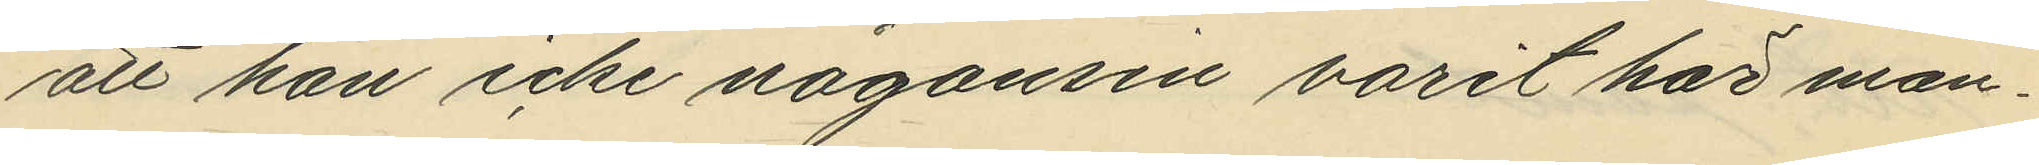att han icke någonsin varit här man¬
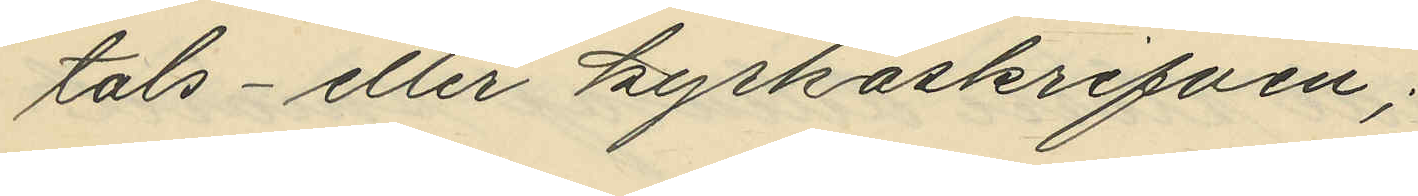tals- eller kyrkskrifven;
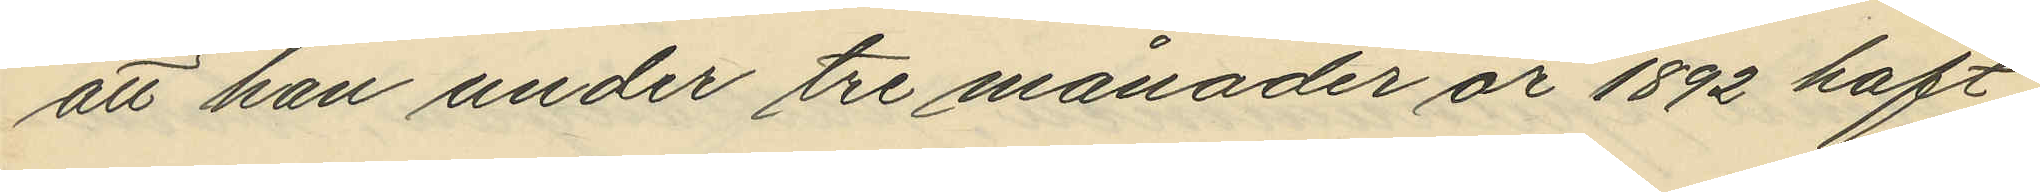att han under tre månader år 1892 haft
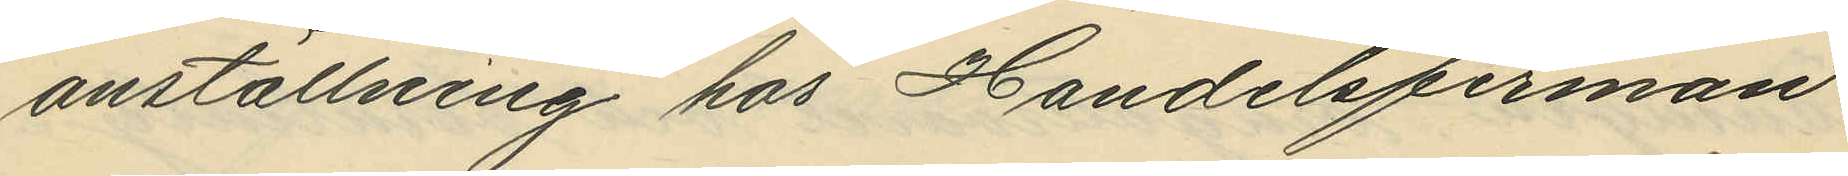anställning hos Handelsfirman
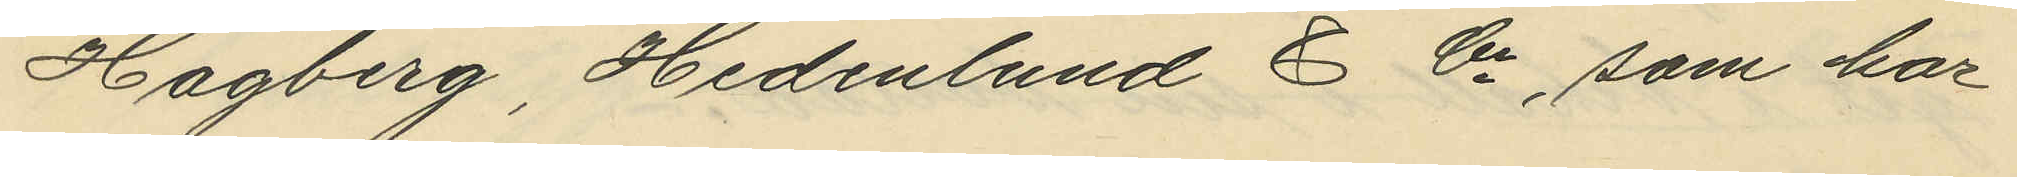Hagberg, Hedenlund & Co, som har
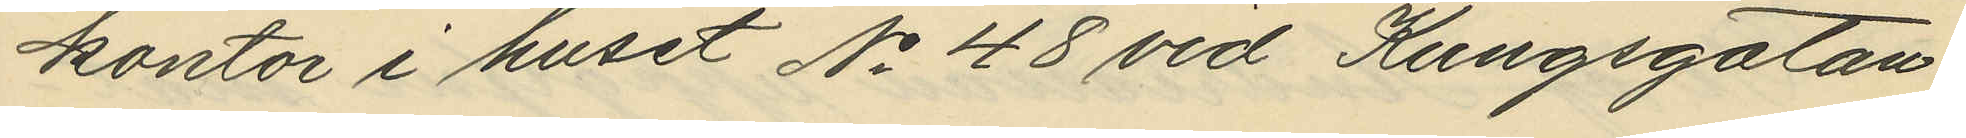kontor i huset No 48 vid Kungsgatan
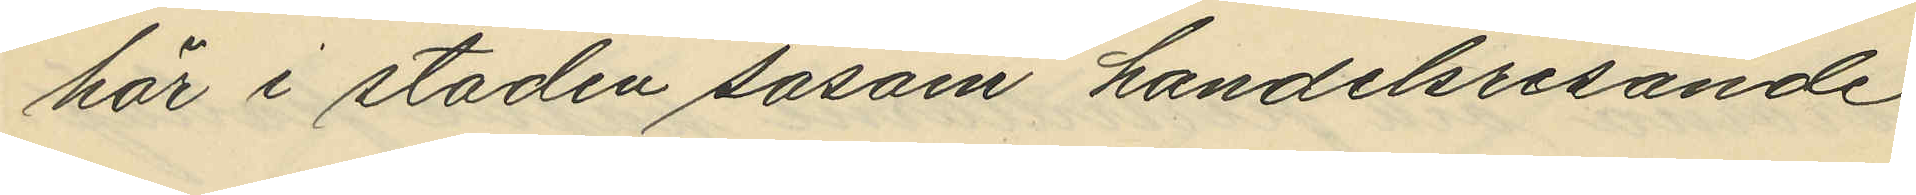här i staden såsom handelsresande
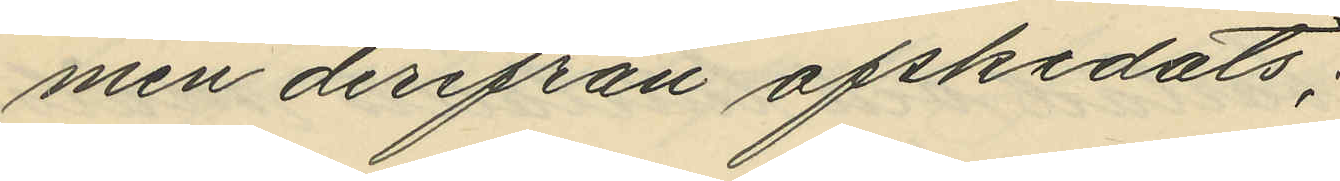men derifrån afskedats;
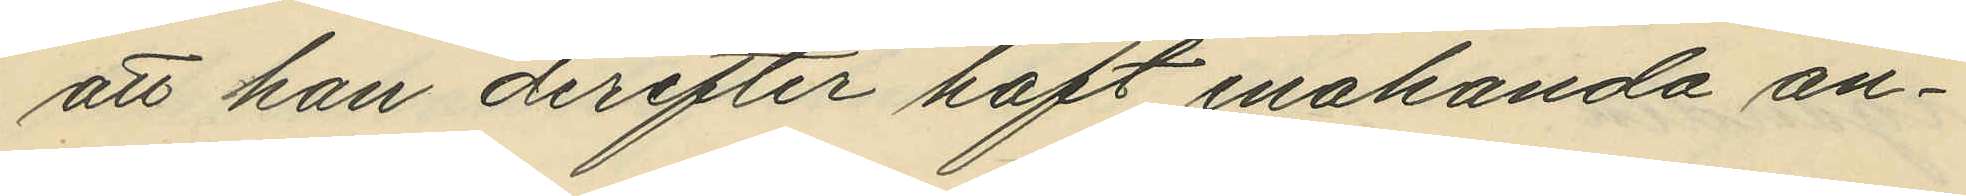att han derefter haft enahanda an¬
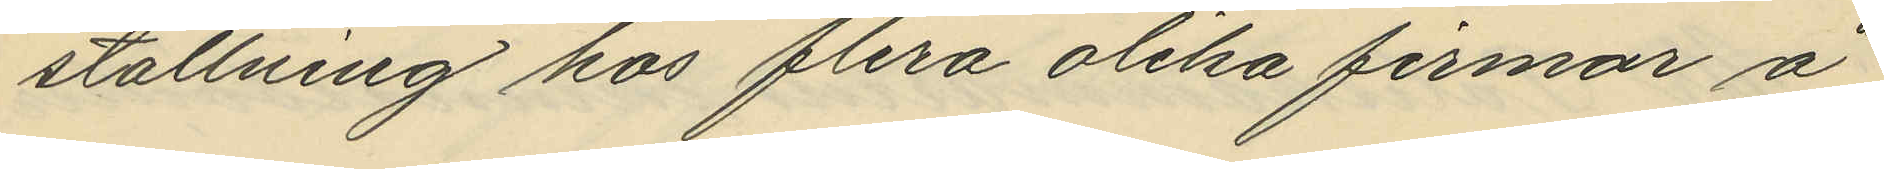ställning hos flera olika firmar å
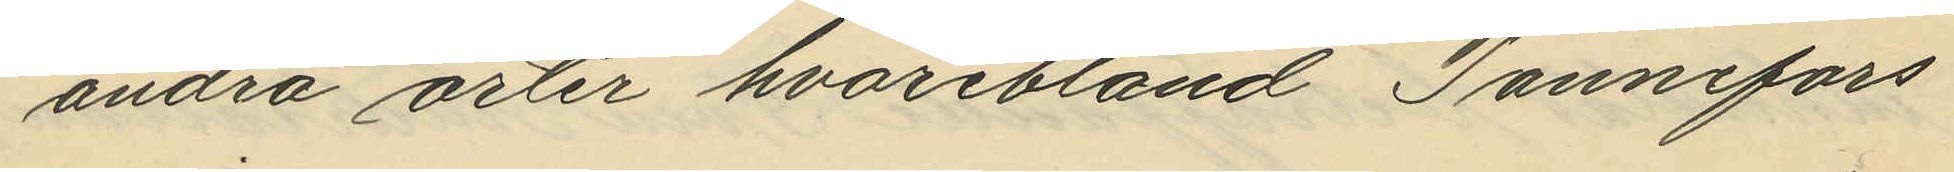andra orter hvaribland Tannefors
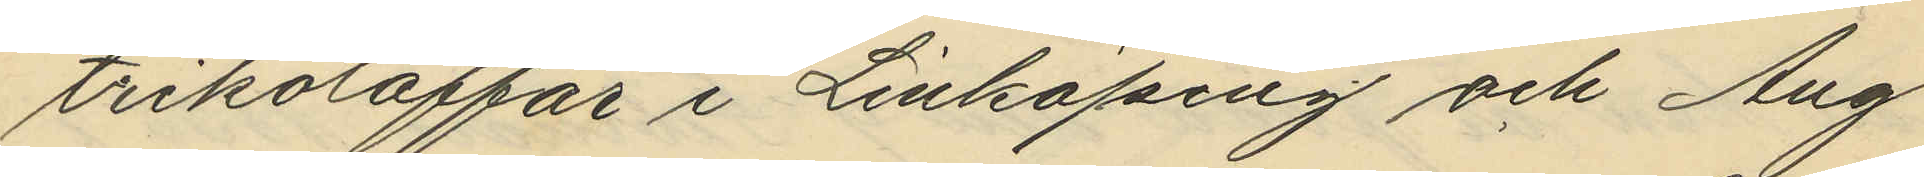trikotaffär i Linköping och Aug
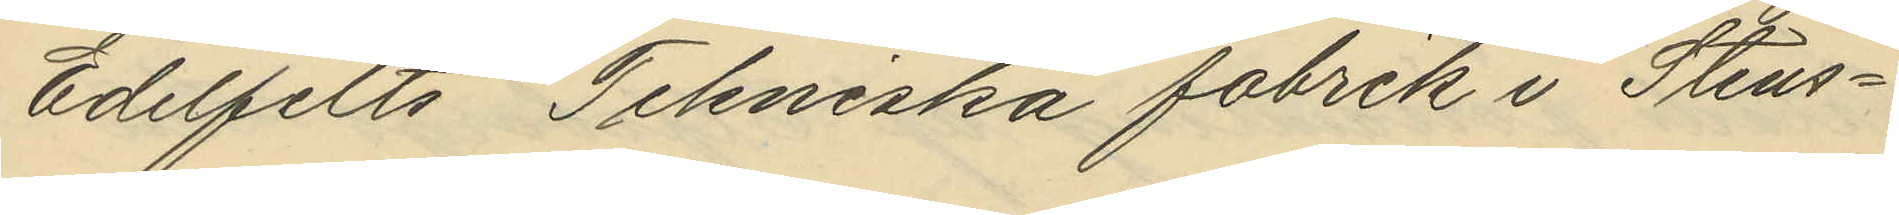Edelfelts Tekniska fabrik i Stens¬
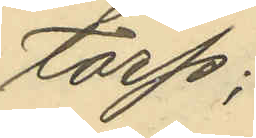torp;
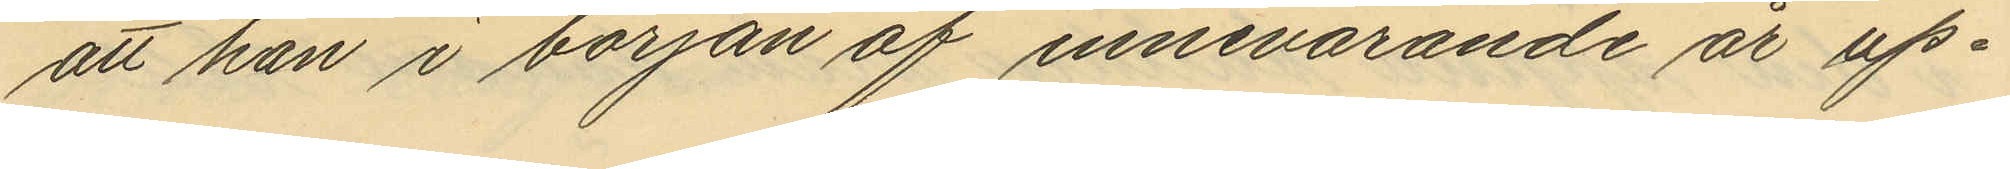att han i början af innevarande år up¬
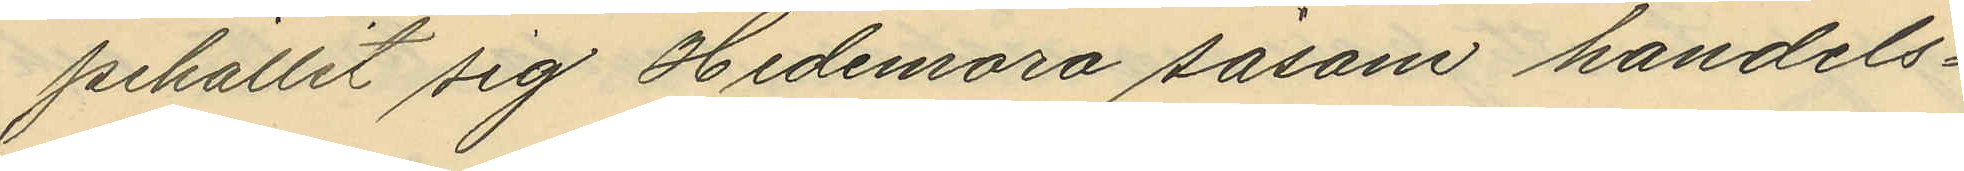pehållit sig Hedemora såsom handels¬
